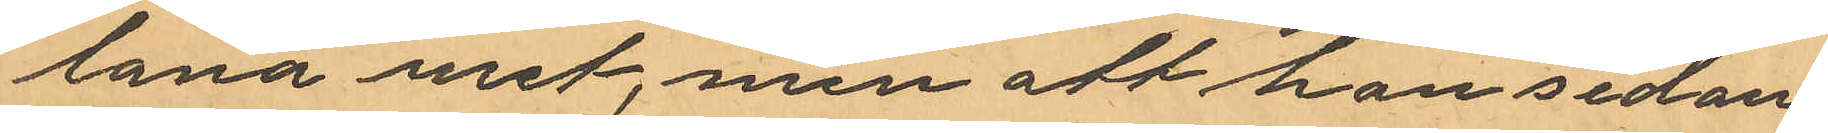låna uret, men att hon sedan
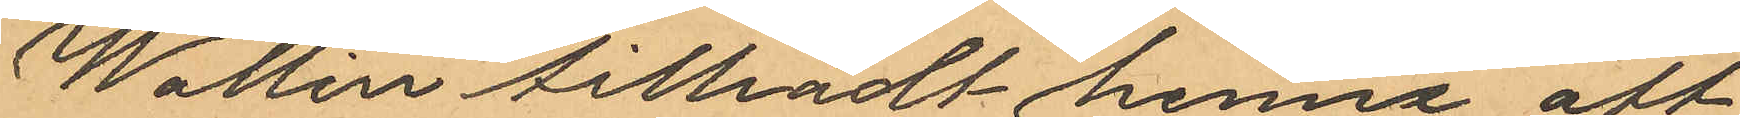Wallin tilrådt henna att
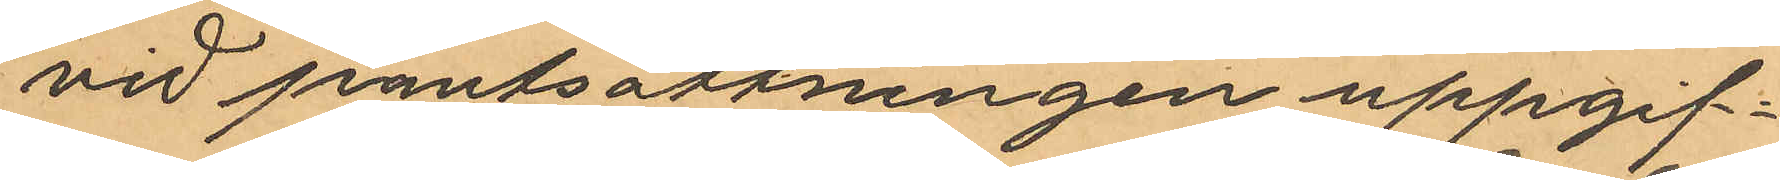vid pantsättningen uppgif¬
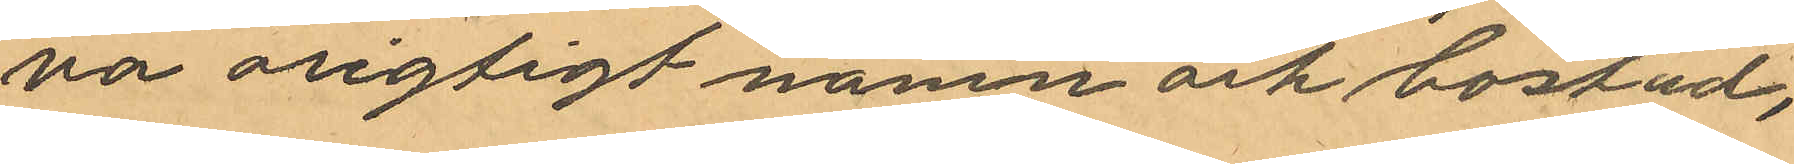va origtigt namn och bostad,
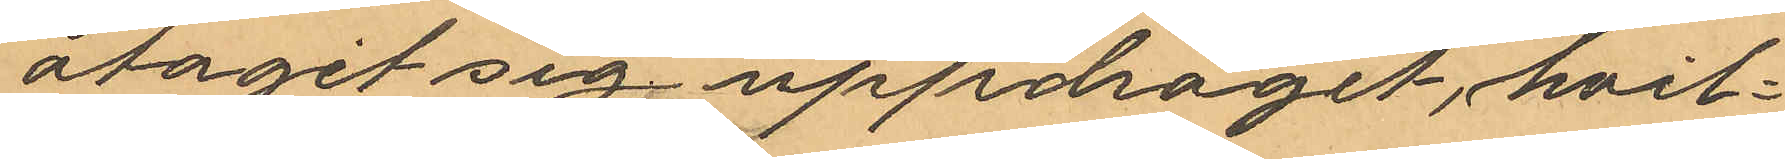åtagit sig uppdraget, hvil¬
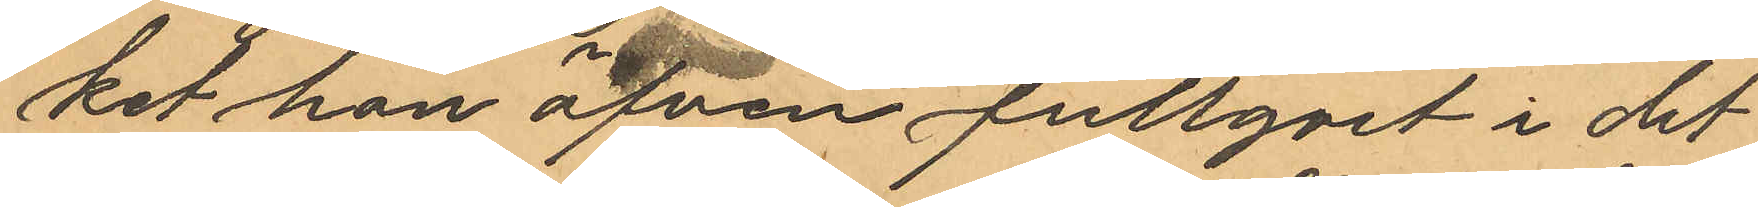ket hon äfven fullgort i det
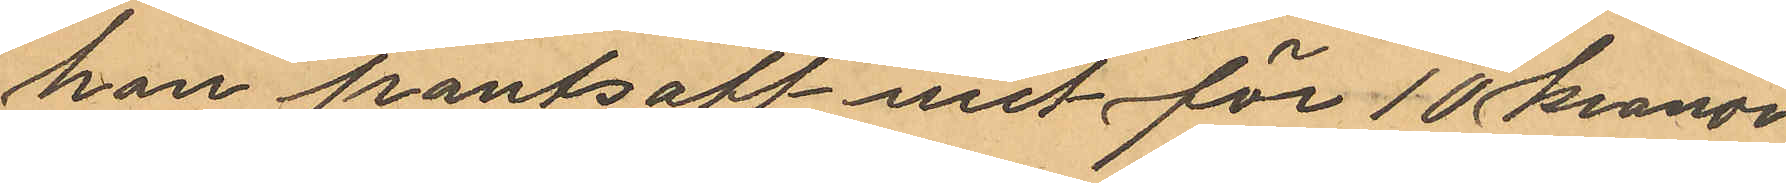hon pantsatt uret för 10 kronor
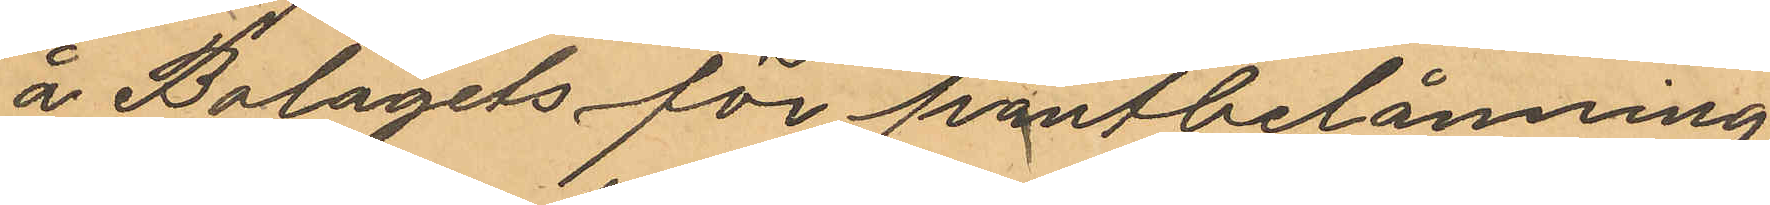å Bolagets för pantbelåning
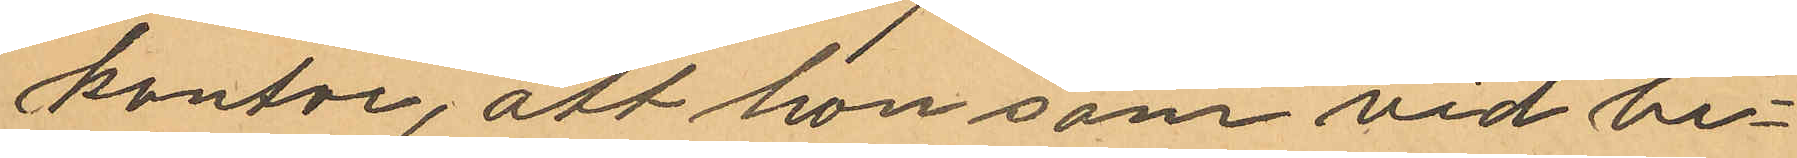kontor, att hon som vid be¬
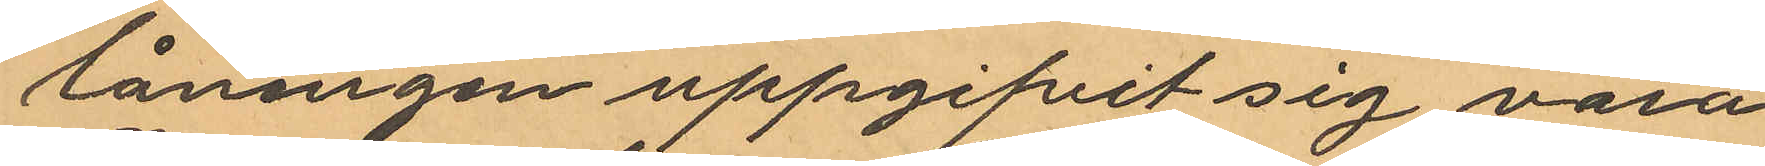låningen uppgifvit sig vara
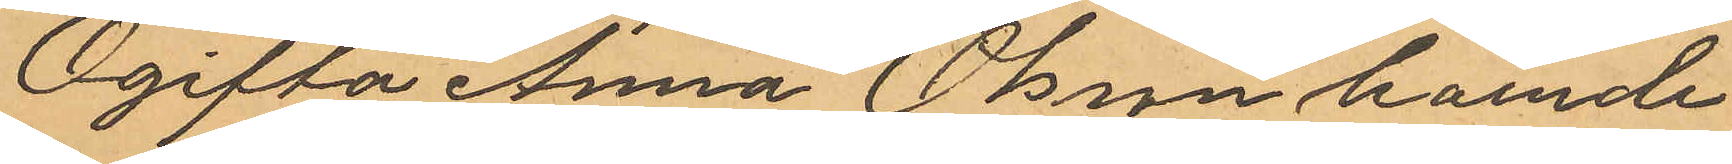Ogifta Anna Olsson boende
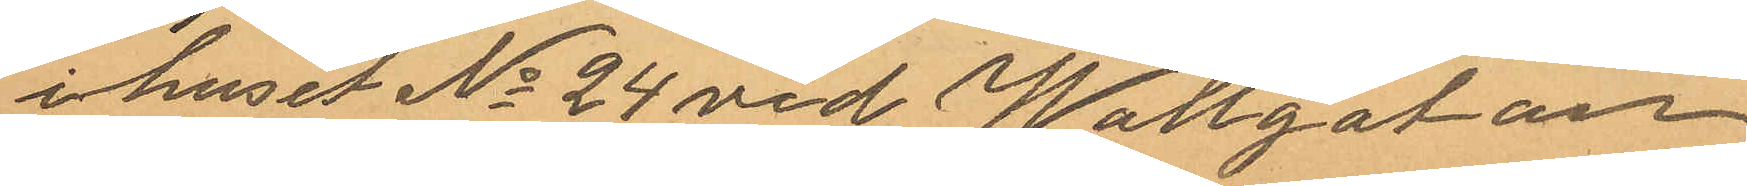i huset No 24 vid Wallgatan,
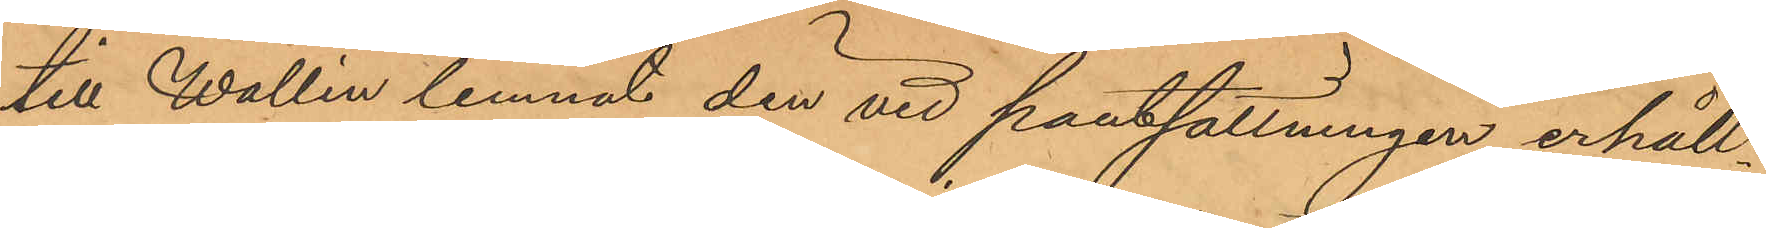till Wallin lemnat den vid pantsättningen erhåll¬
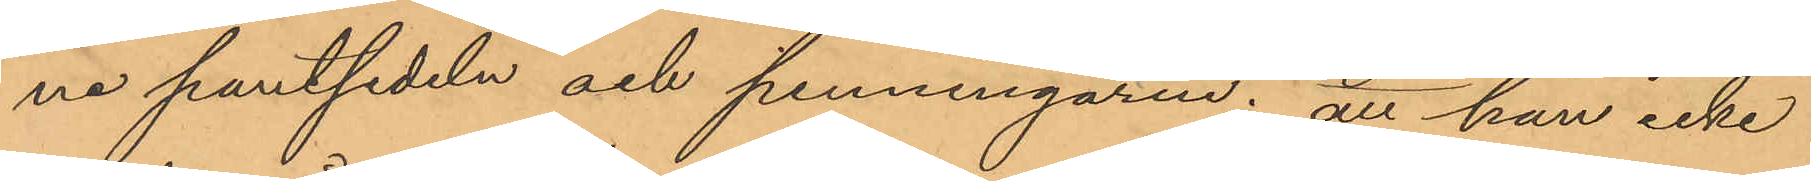ne pantsedeln och penningarne; att han icke
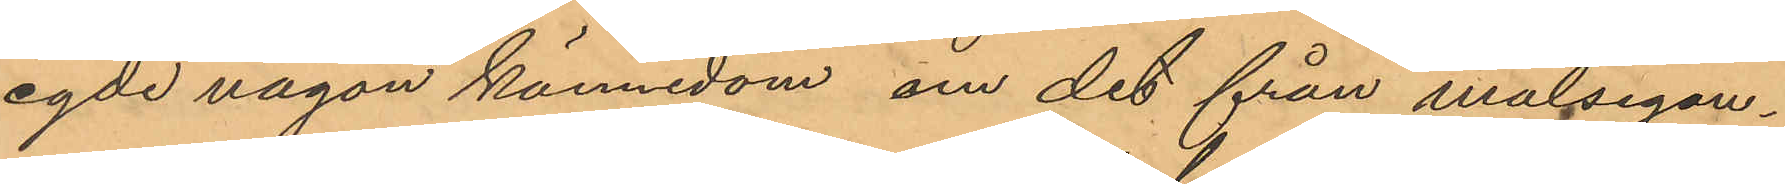egde någon kännedom om det från målsegan¬
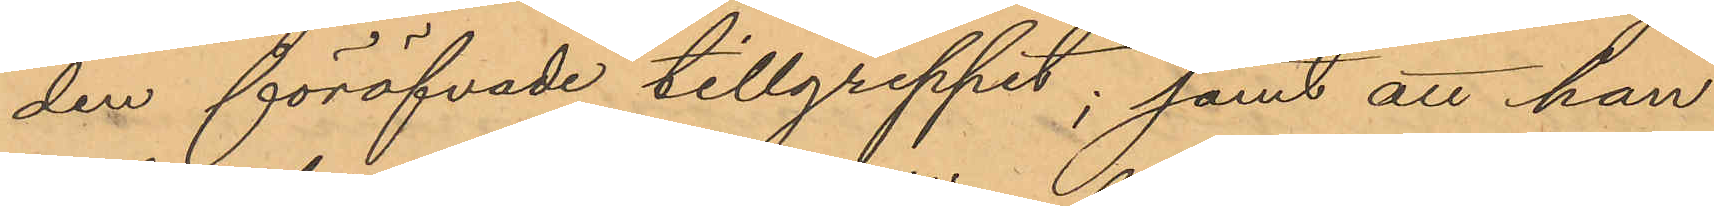den föröfvade tillgreppet; samt att han
